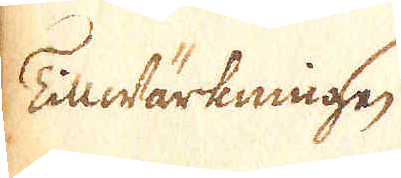Tillwärknnigen
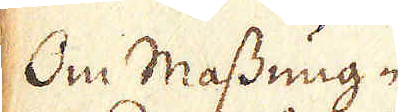Om Massung-
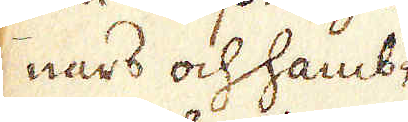nars och hamb-
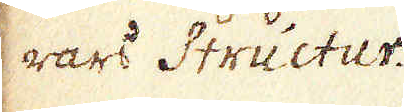nars Structur.
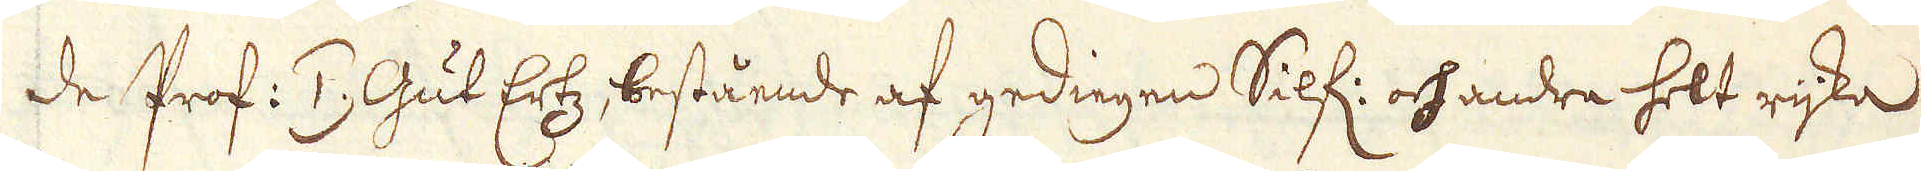de Prof: 1.) Gut Ertz, bestående af gedingen Silf: och andra helt rijka
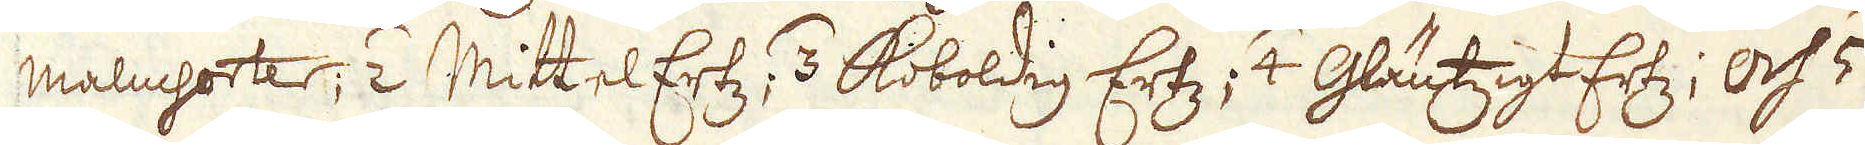malmsorter; 2) MittelErtz; 3) Koboldig Ertz; 4) Gläntzigt Ertz; Och 5)
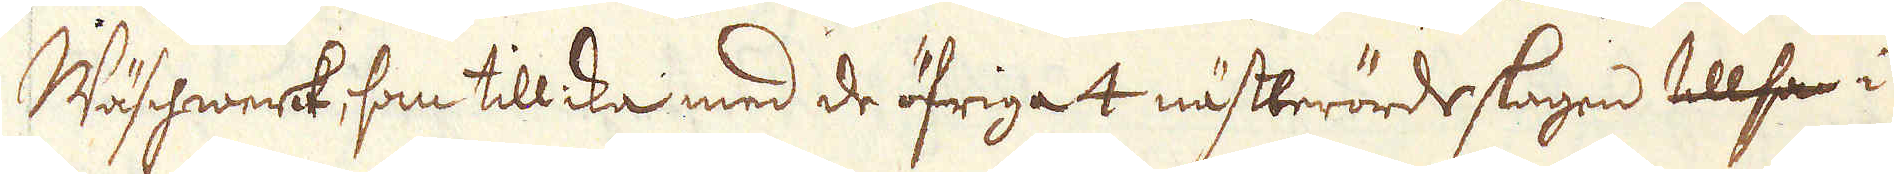Wäschwerk, som tillika med de öfriga 4 nästberörde slagen tillsa i
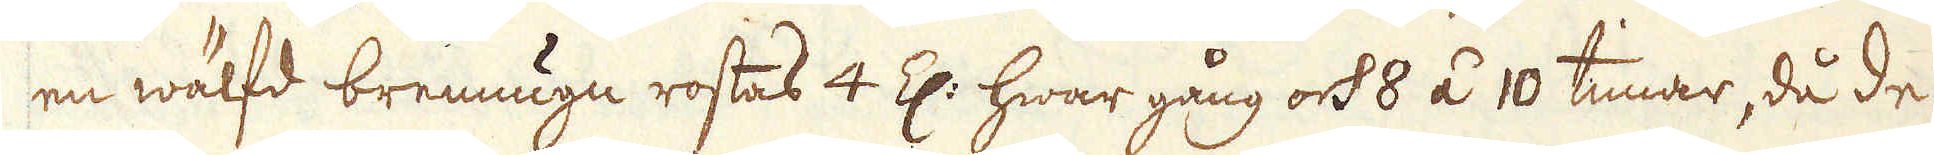en wälfd brennugn rostas 4 Z: hwar gång och 8 á 10 timar, då de
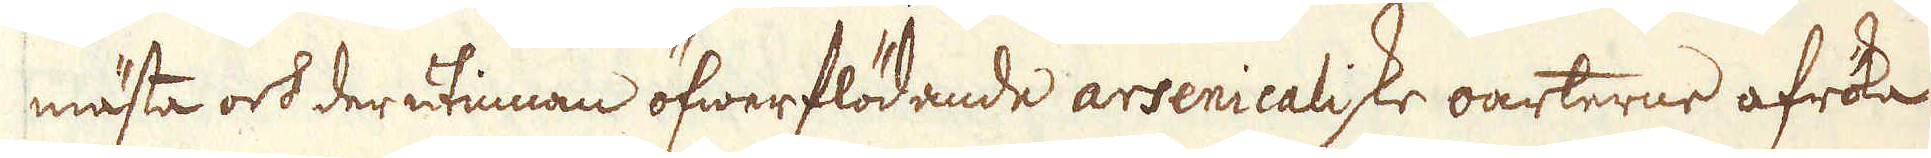mästa och derutinnan öfwerflödande arsenicaliske oarterne afröka
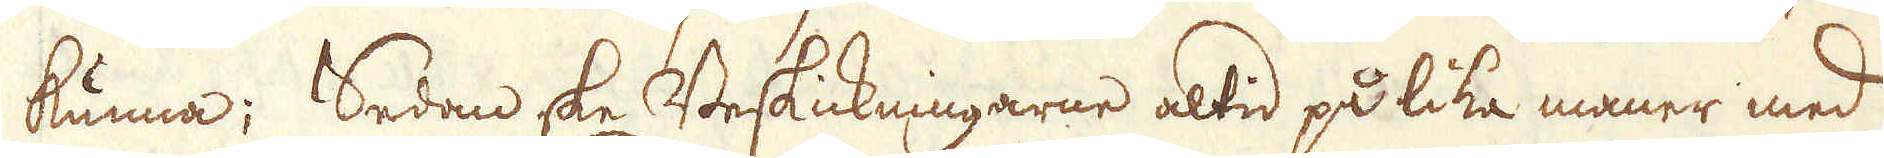kunna; Sedan ske Beskickningarne altid på lika maner med
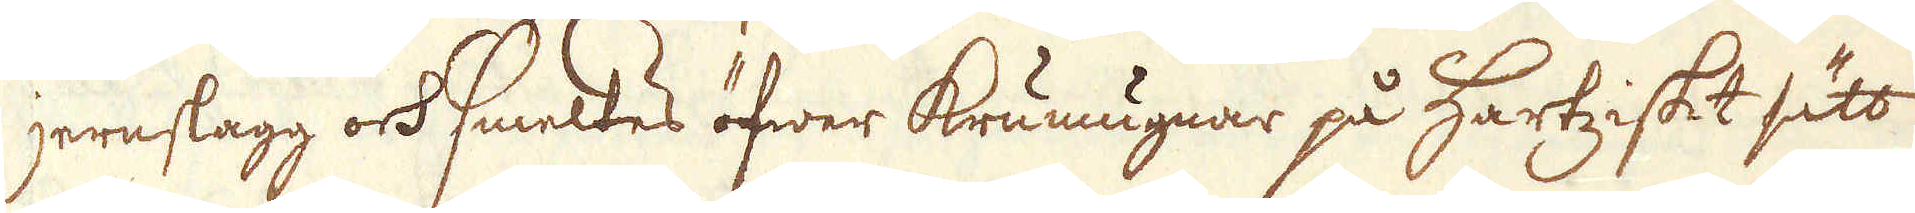jernslagg och smeltes öfwer krumugnar på Hartziskt sätt
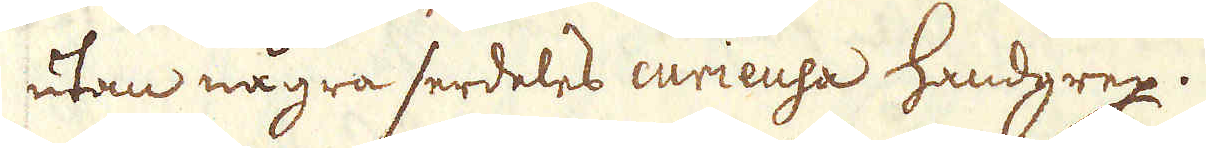utan några serdeles curieusa handgrep.
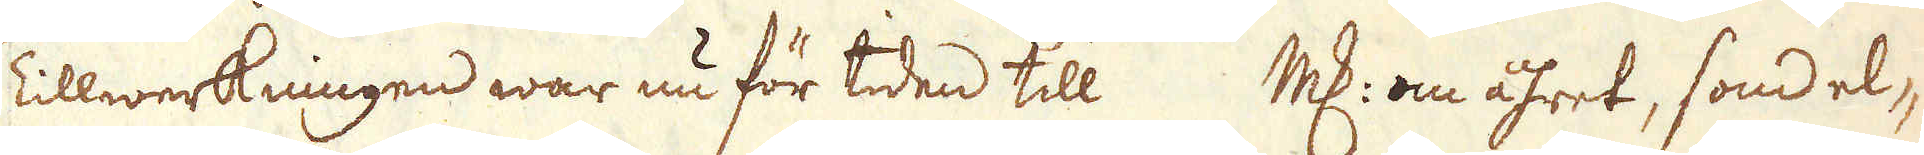Tillwerkningen war nu för tiden till marker om åhret, som el-
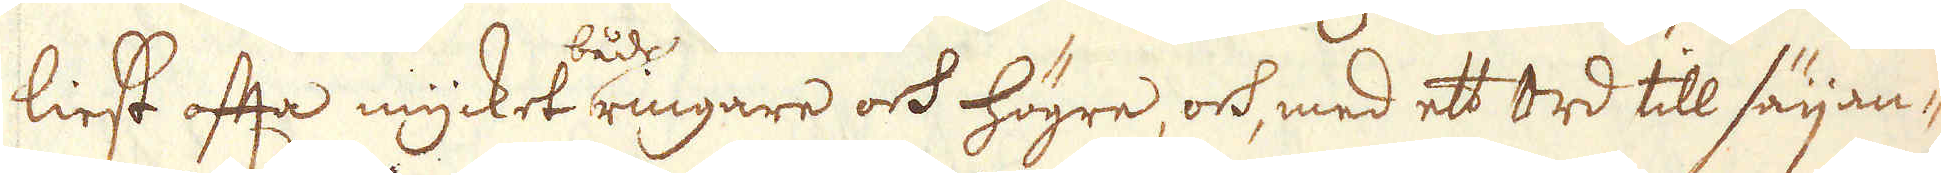liest ofta mycket ringare och högre, och med ett ord till säijan-
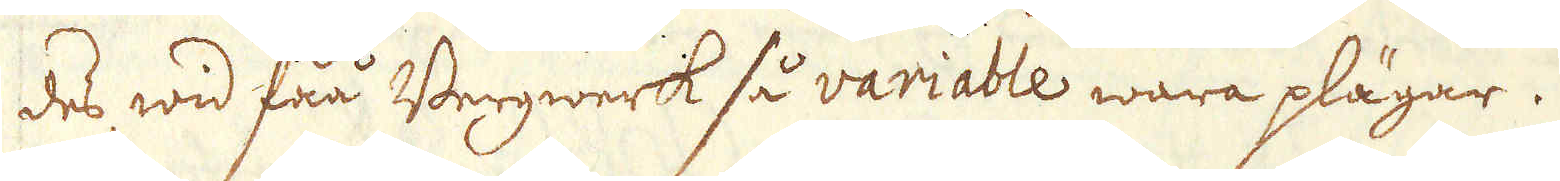des wid fåå Bergwerk så variable wara plägar.
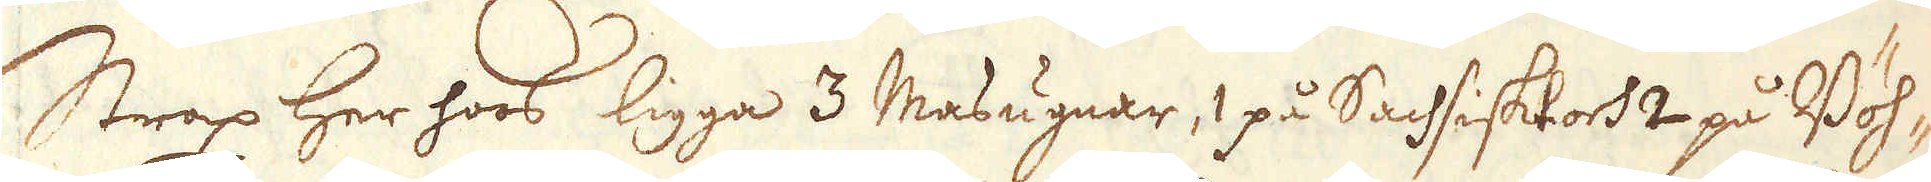Strax her hoos ligga 3 Masugnar, 1 på Sachsiskt och 2 på Böh-
